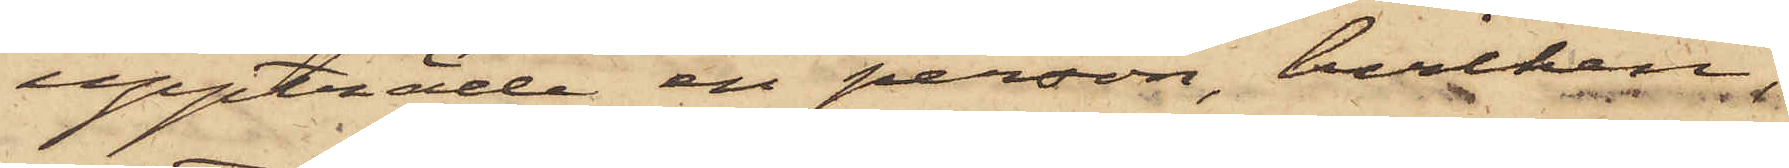uppträde en person, hvilken
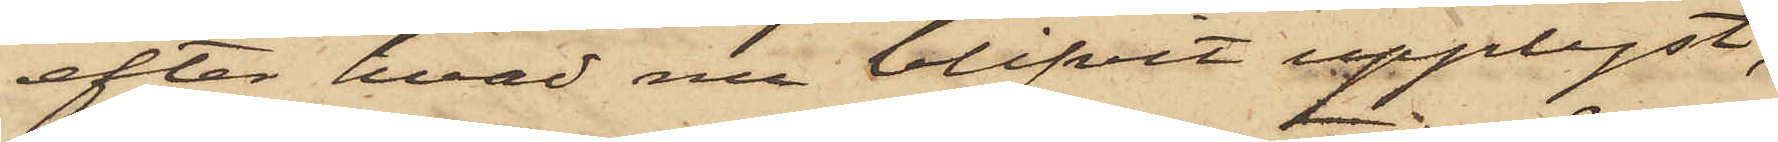efter hvad nu blifvit upplyst,
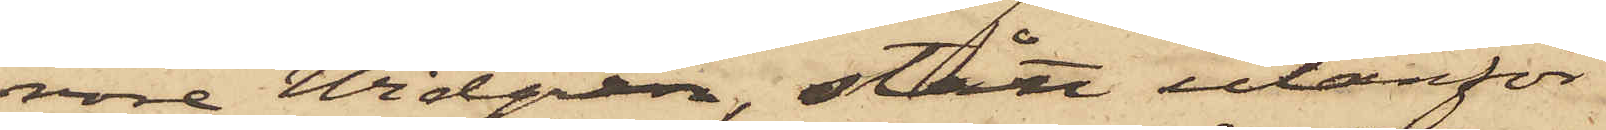vore Widgen, stått utanför
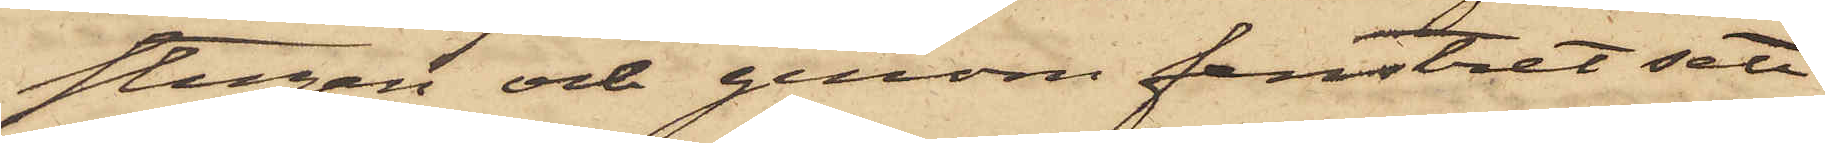stugan och genom fenstret sett
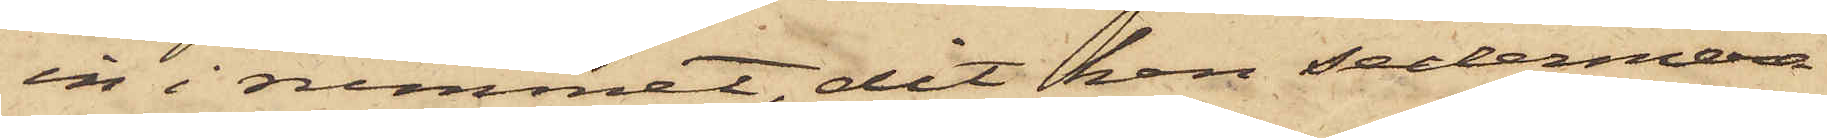in i rummet, dit han sedermera
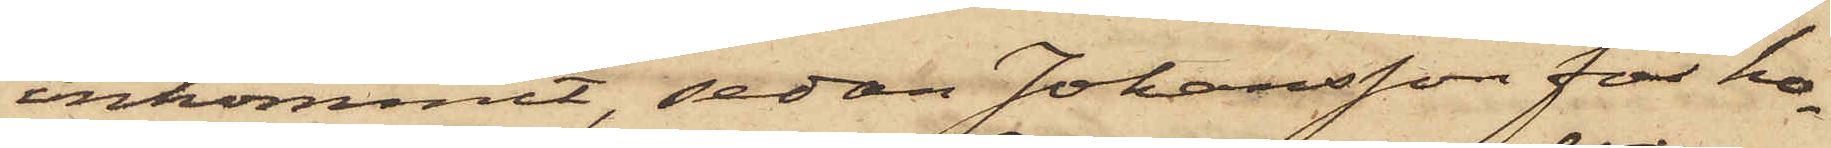inkommit, sedan Johansson för ho¬
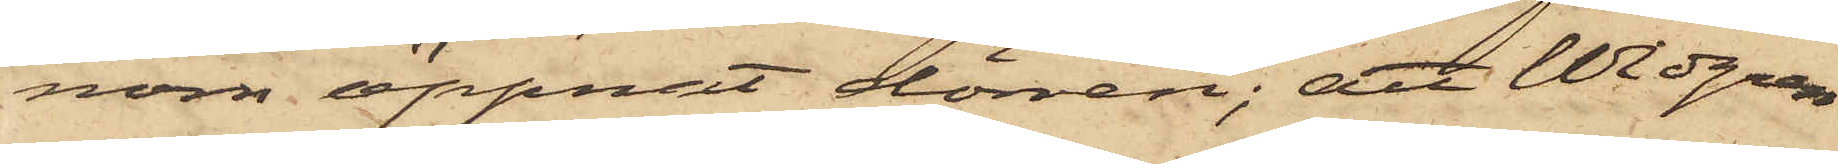nom öppnat dörren; att Widgren
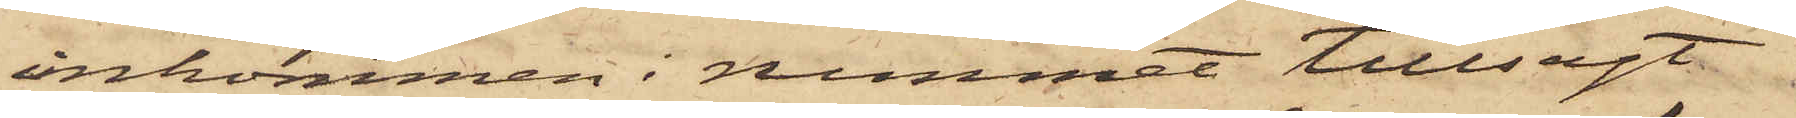inkommen i rummet tillsagt
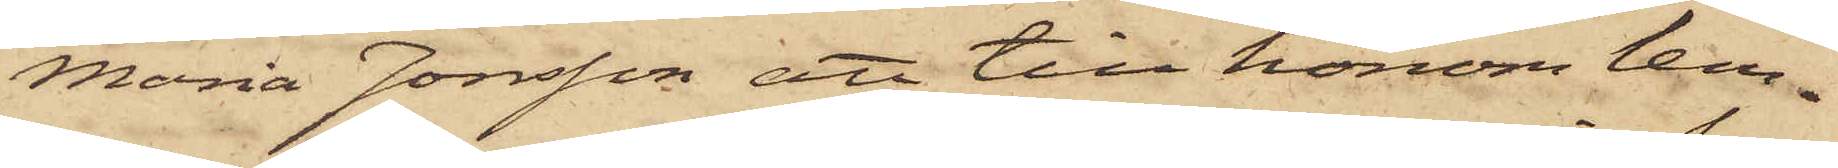Maria Jonsson att till honom lem¬
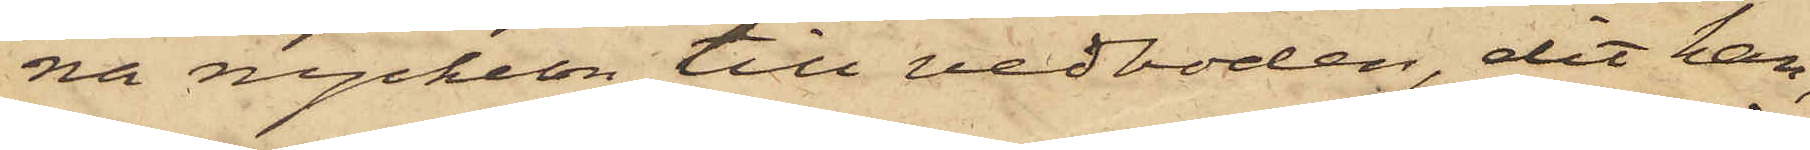na nyckeln till vedboden, dit han,
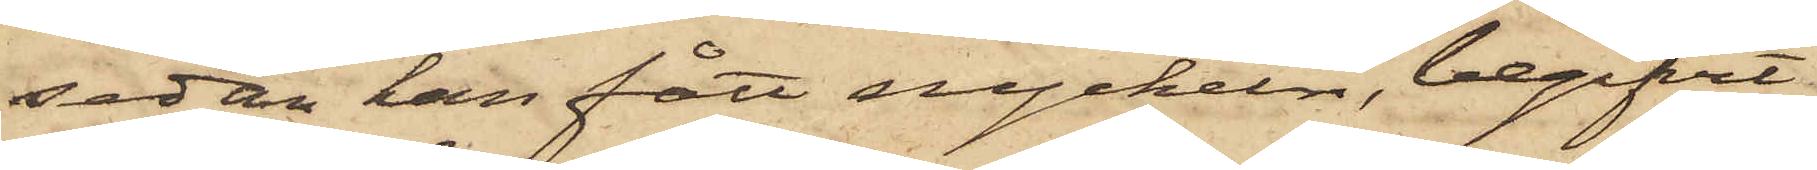sedan han fått nyckeln, begifvit
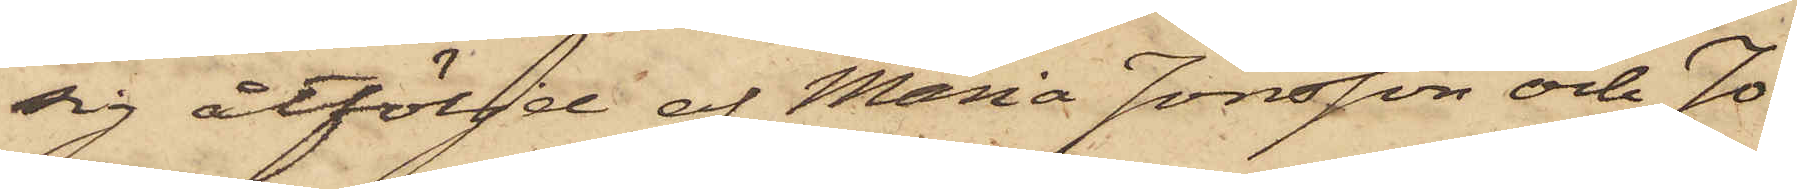sig åtföljd af Maria Jonsson och Jo¬
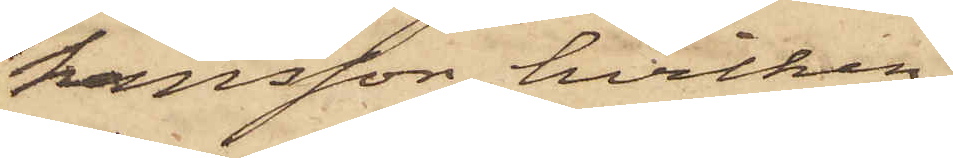hansson, hvilken,
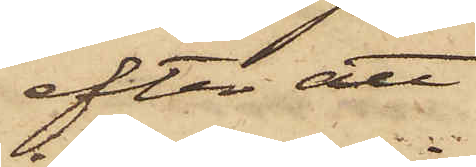efter att
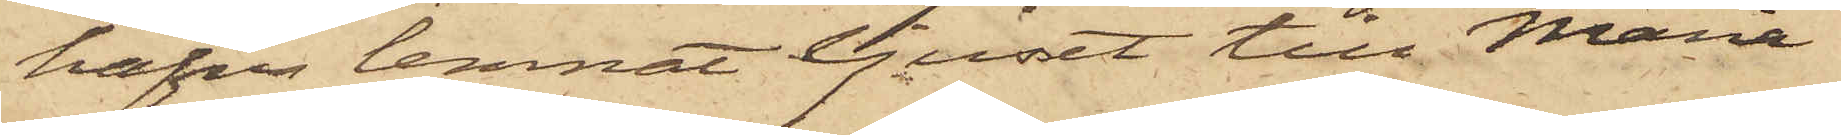hafva lemnat ljuset till Maria
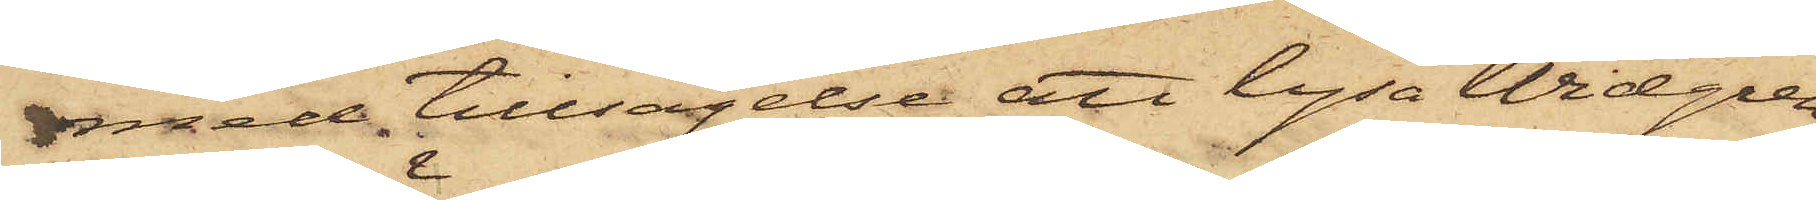med tillsägelse att lysa Widgren,
